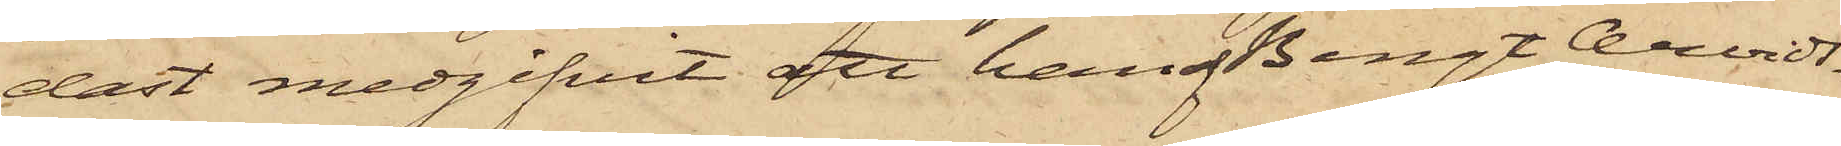dast medgifvit att han af Bengt Arvids¬
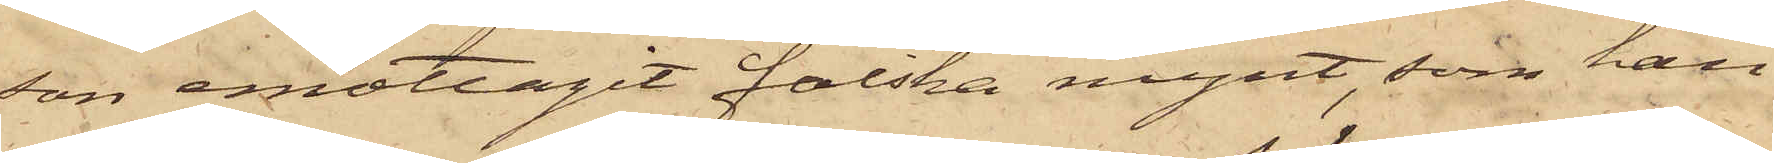son emottagit falska mynt, som han
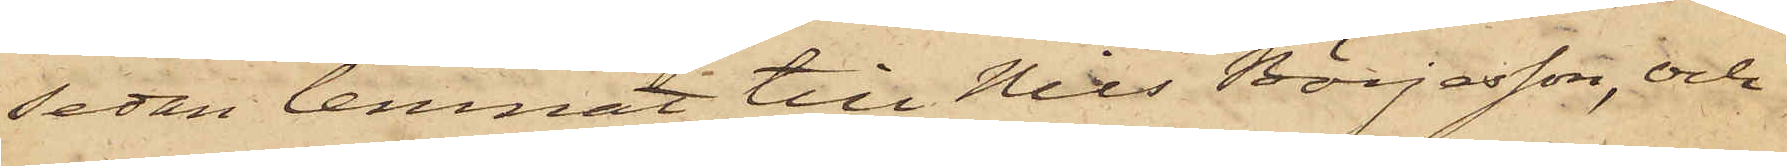sedan lemnat till Nils Börjesson, och
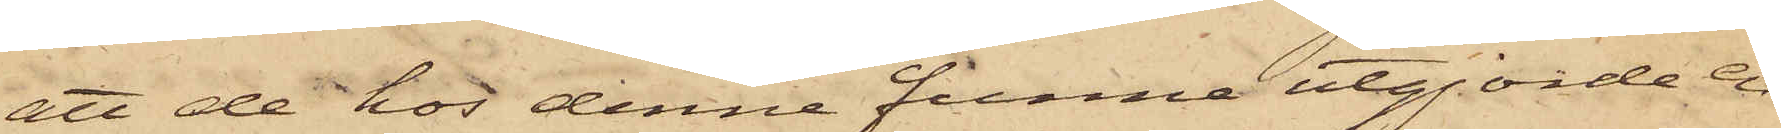att de hos denne funna utgjorde en
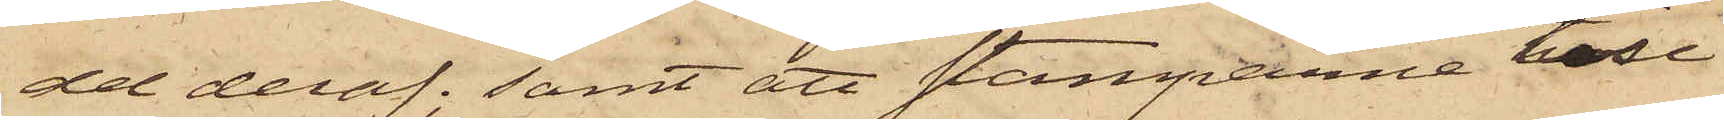del deraf; samt att stamparne till
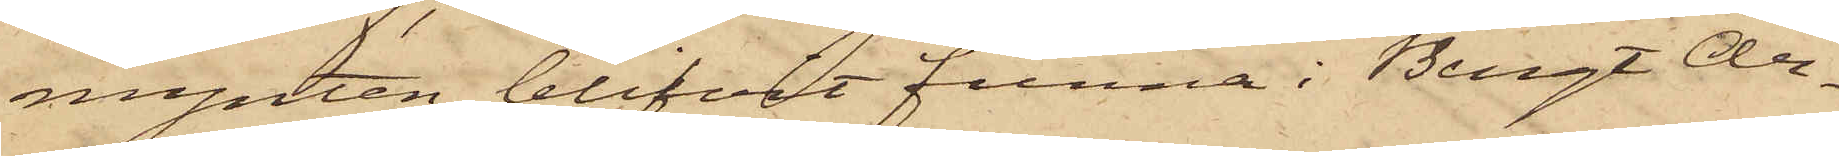mynten blifvit funna i Bengt An¬
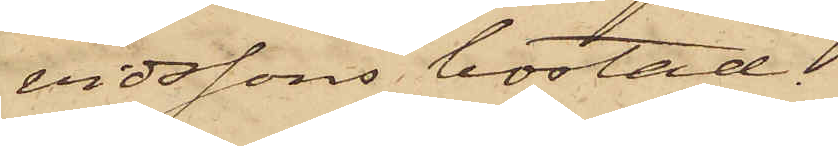vidssons bostad;
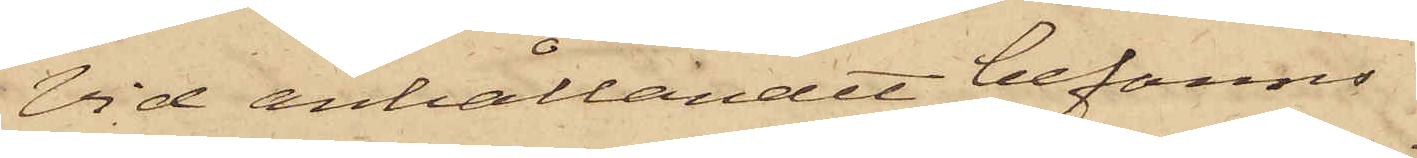Vid anhållandet befanns
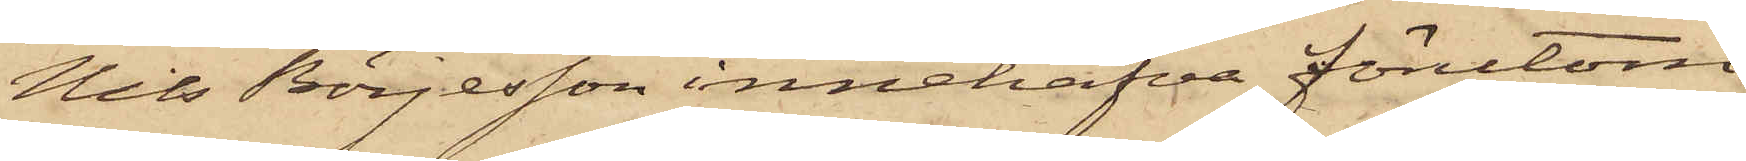Nils Börjesson innehafva förutom
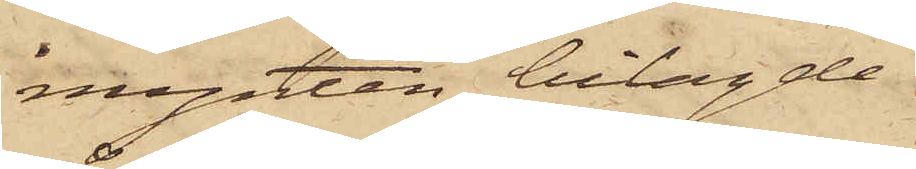mynten bilagde
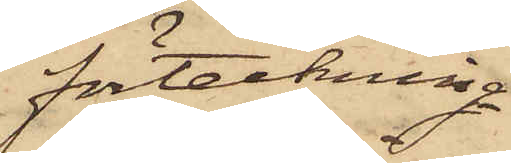förteckning
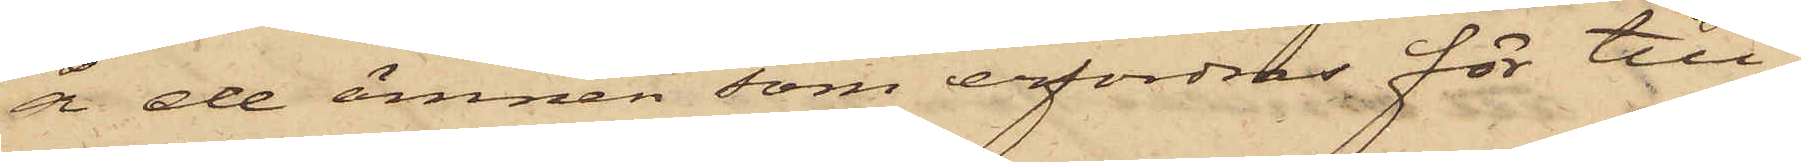å de ämnen som erfordras för till¬
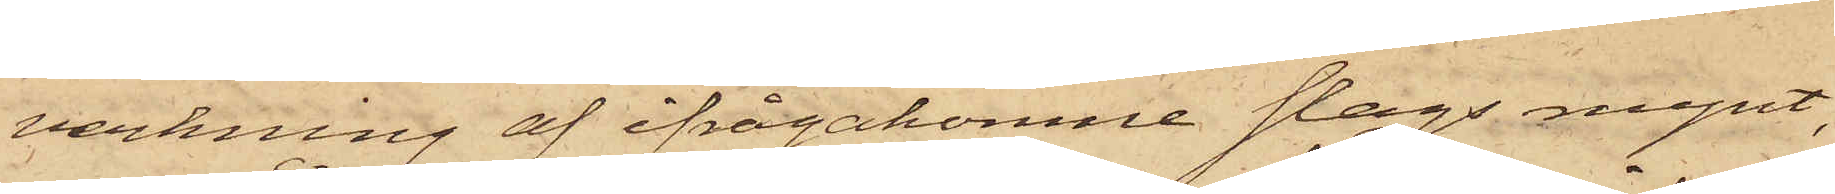verkning af ifrågakomne slags mynt,
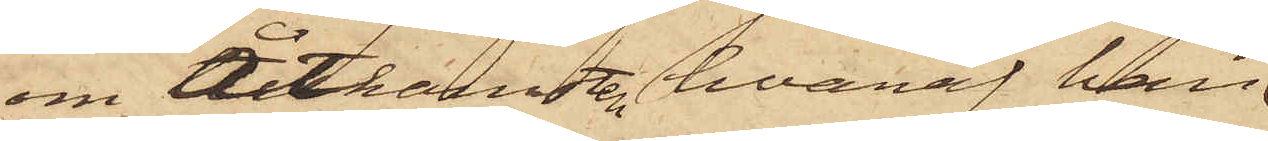om Åtkomsten hvaraf han
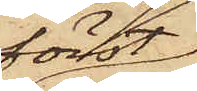först
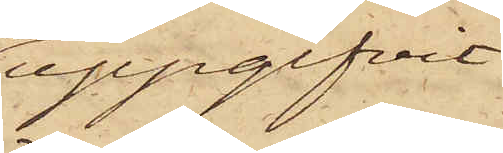uppgifvit
